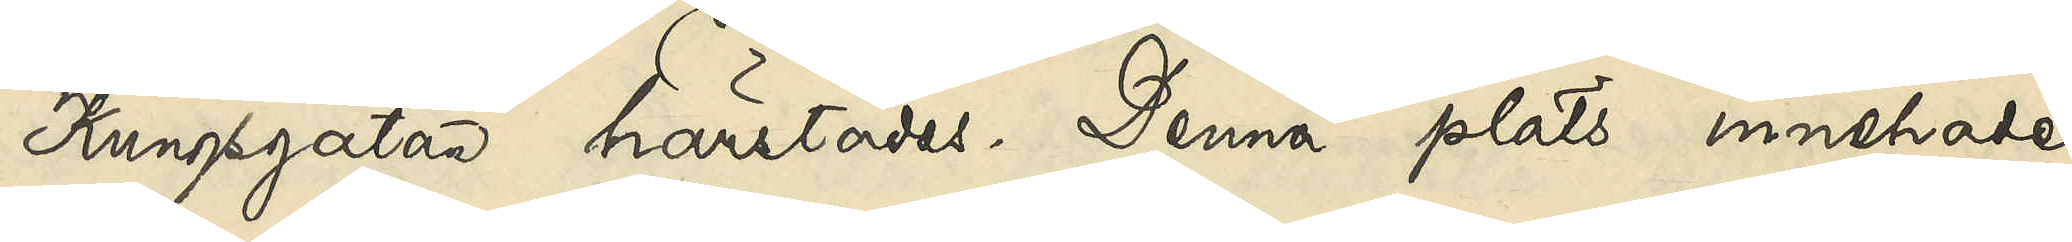Kungsgatan härstädes. Denna plats innehade
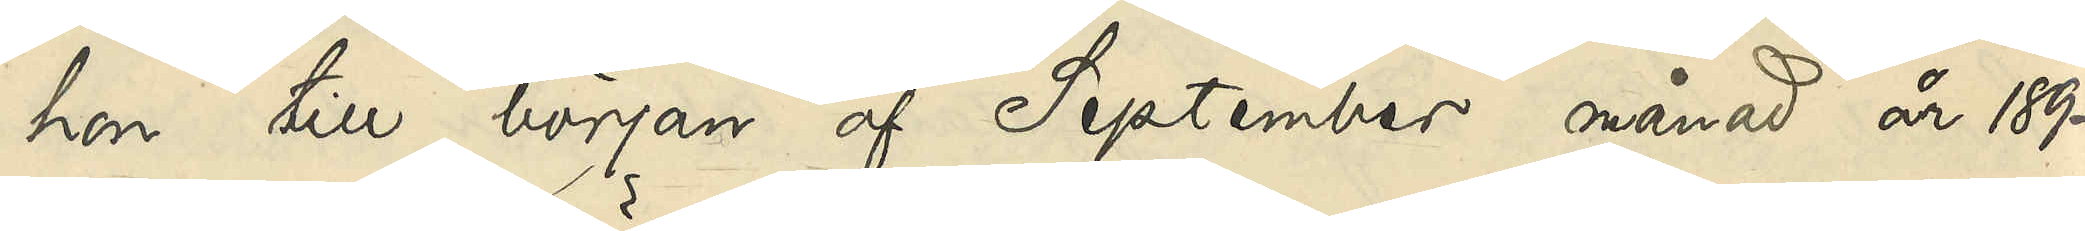hon till början af September månad år 1892
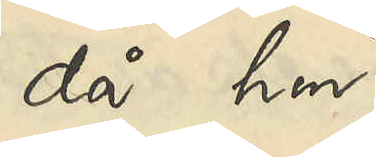då hon
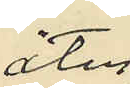åter
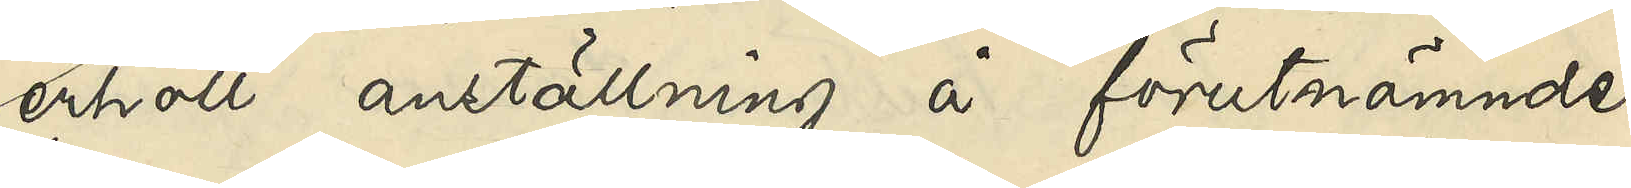erhöll anställning å förutnämnde
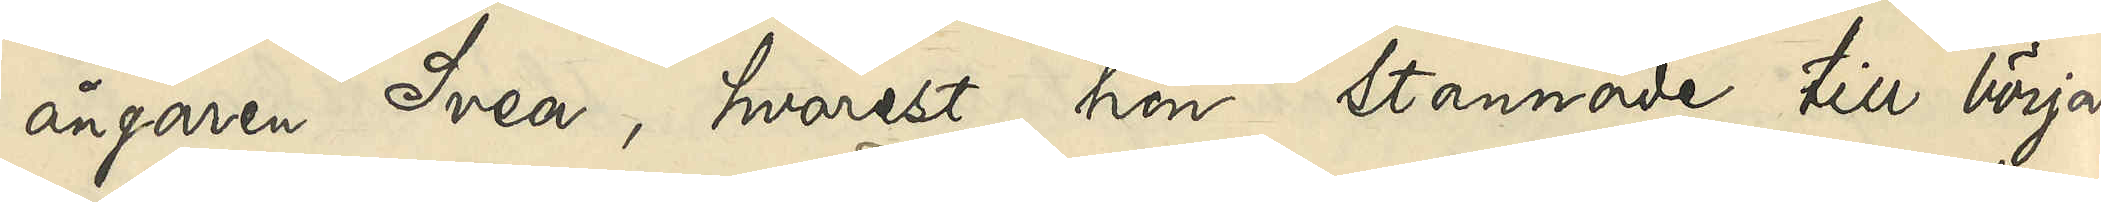ångaren Svea, hvarest hon stannade till början
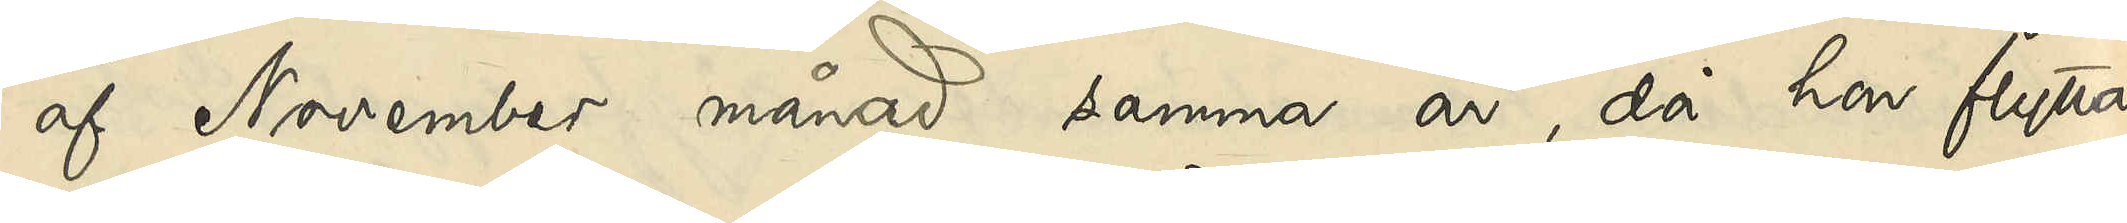af November månad samma år, då hon flytta¬
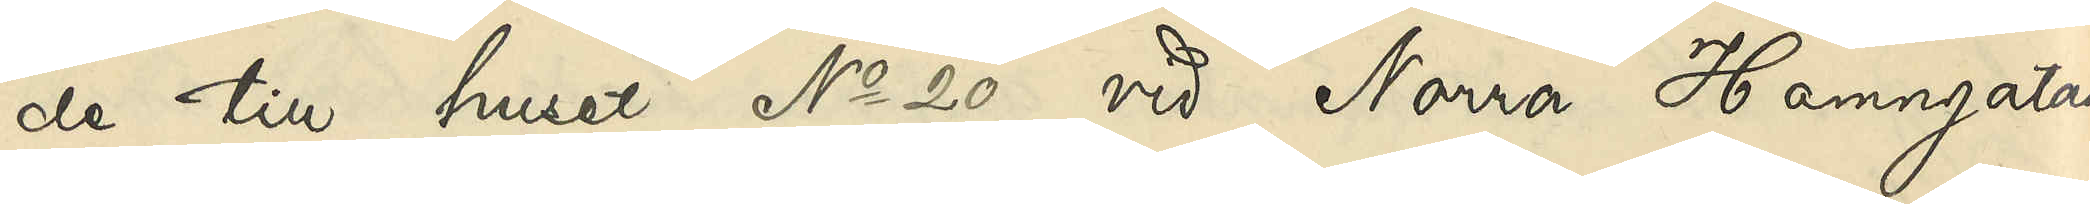de till huset No 20 vid Norra Hamngatan.
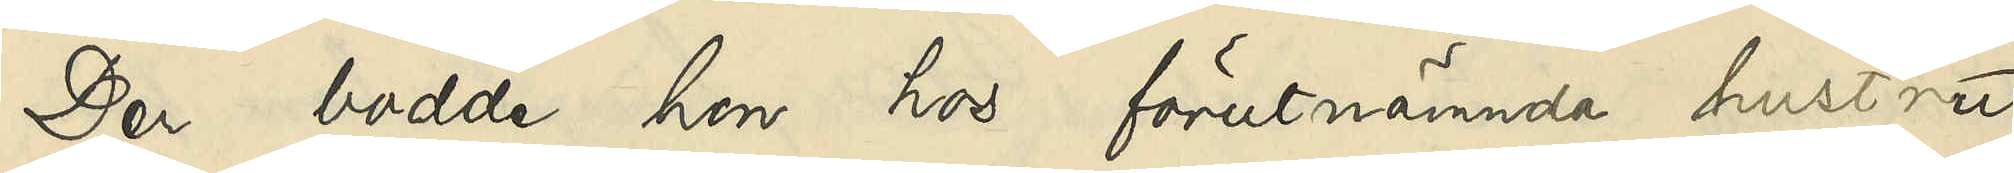Der bodde hon hos förutnämnde hustru
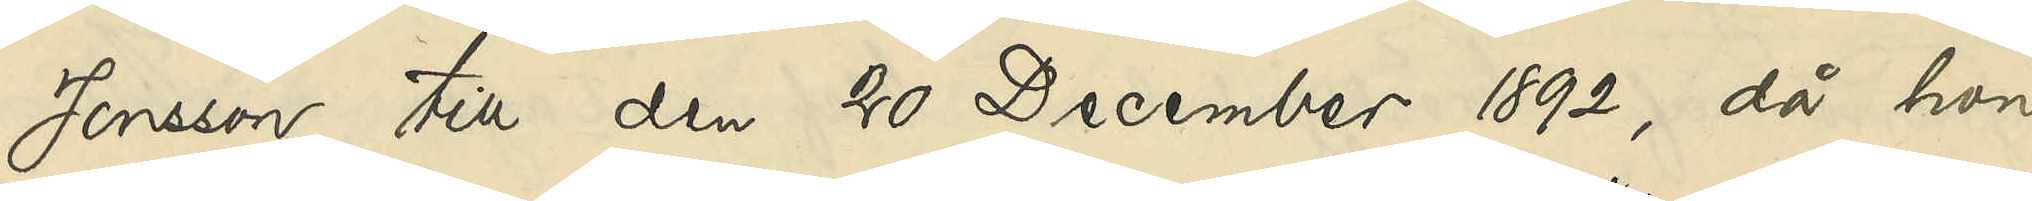Jonsson till den 20 December 1892, då hon
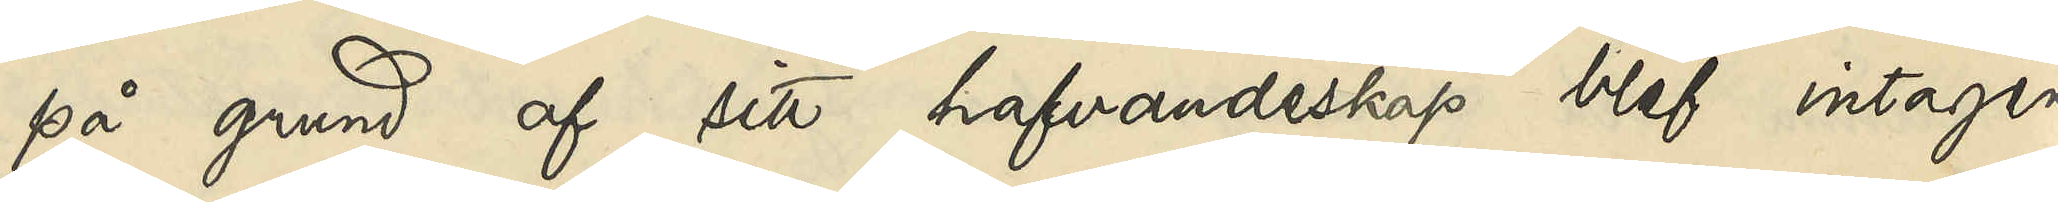på grund af sitt hafvandeskap blef intagen
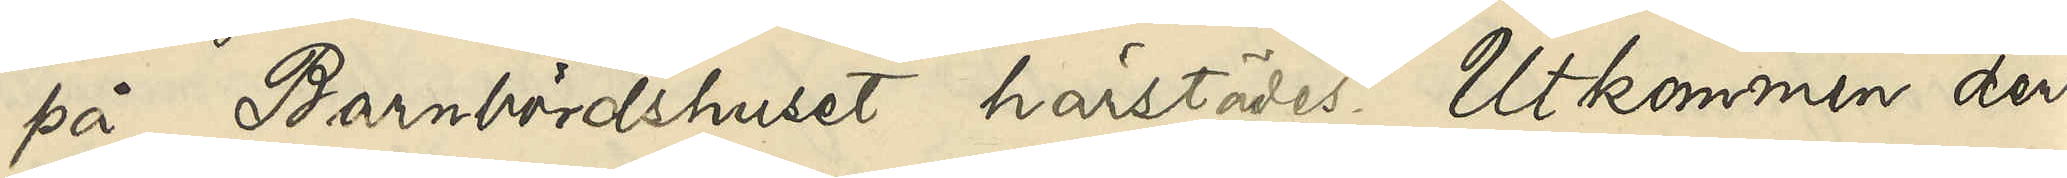på Barnbördshuset härstädes. Utkommen deri¬
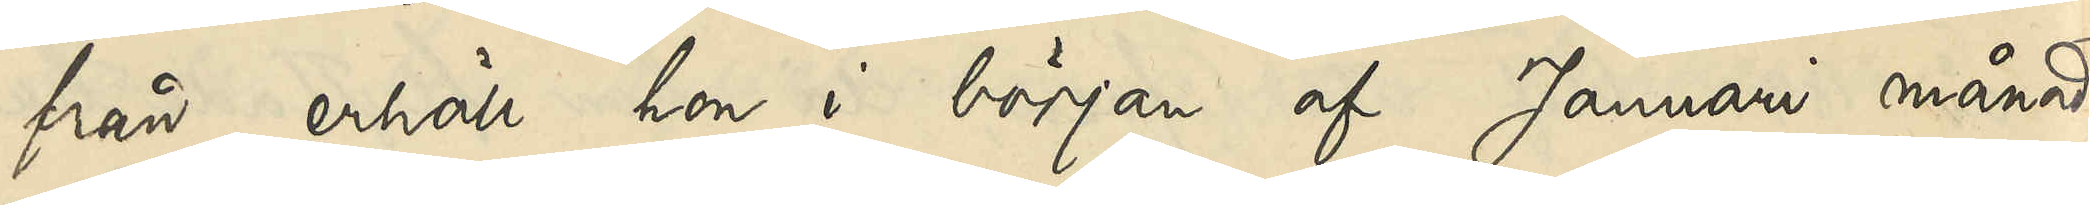från erhöll hon i början af Januari månad
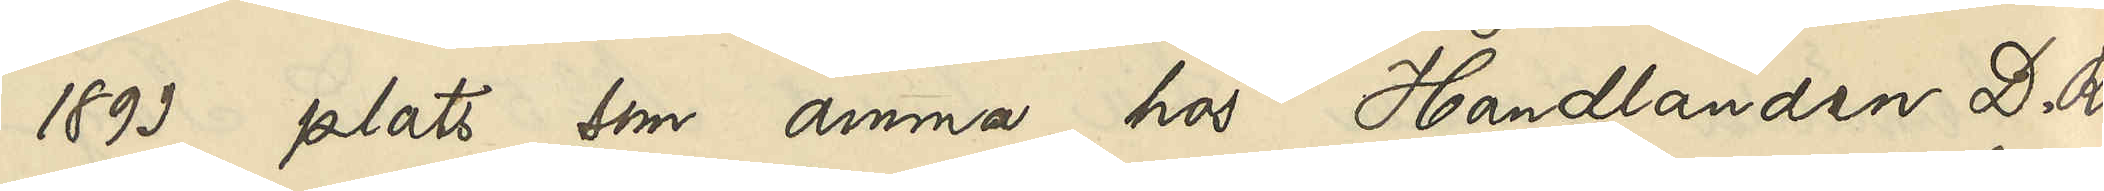1893 plats som amma hos Handlanden D. R.
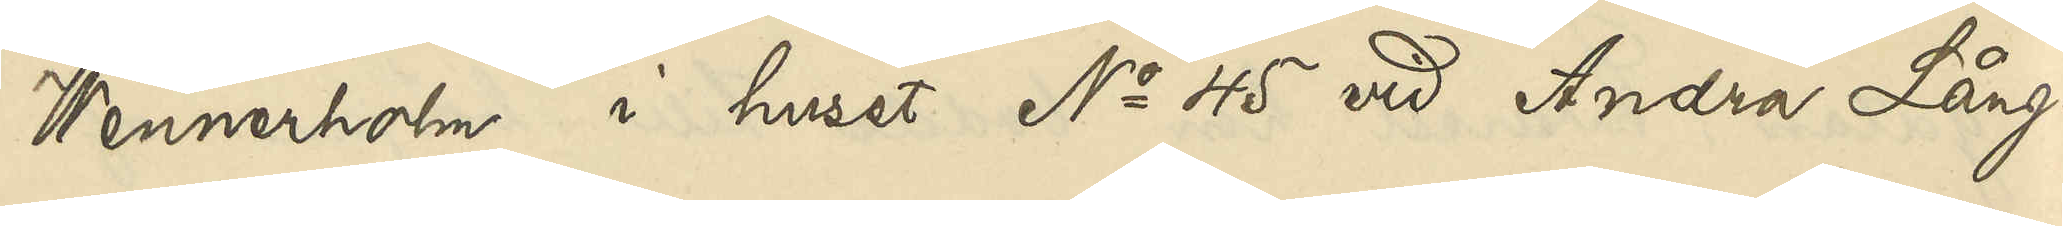Wennerholm i huset No 45 vid Andra Lång¬
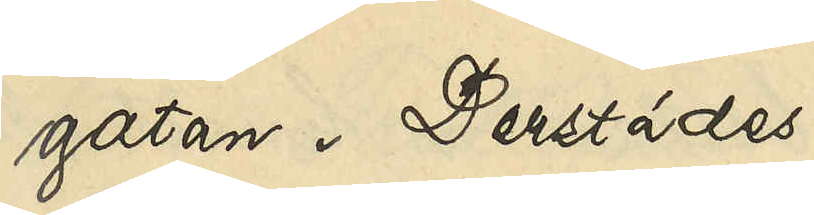gatan. Derstädes
